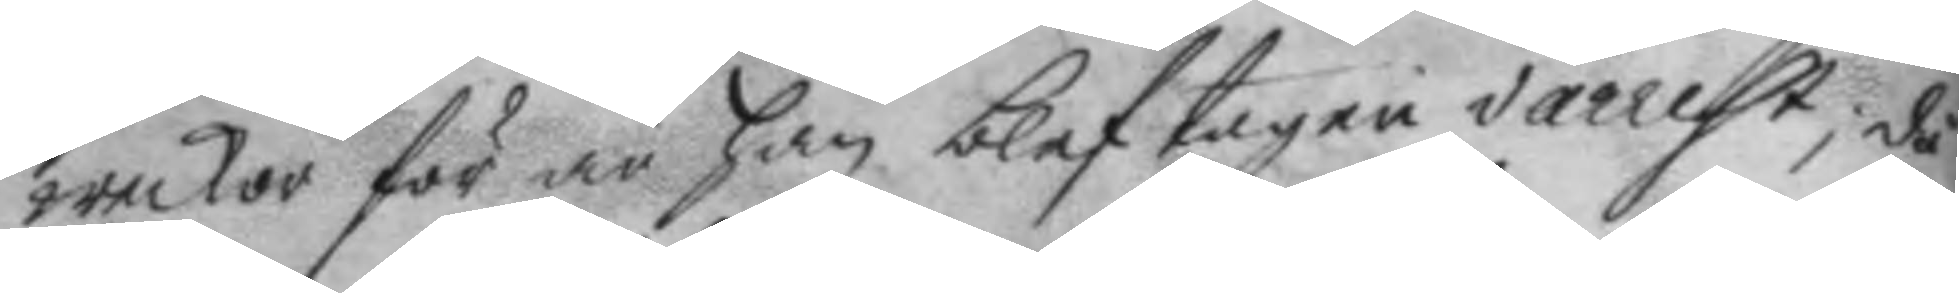weckor för än han blef tagen i arrest; då
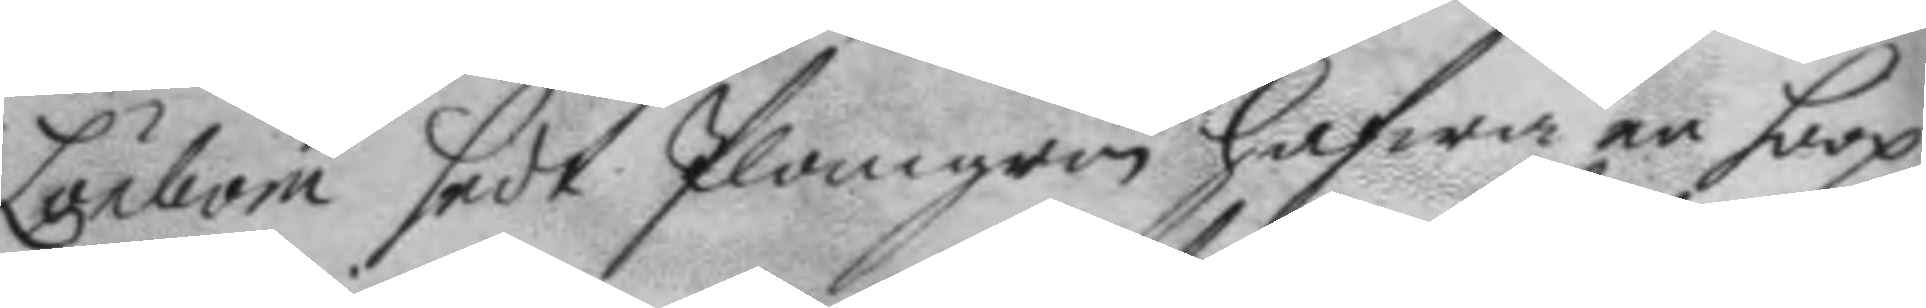Lönbom sedt Plomgren hafwa en hoop
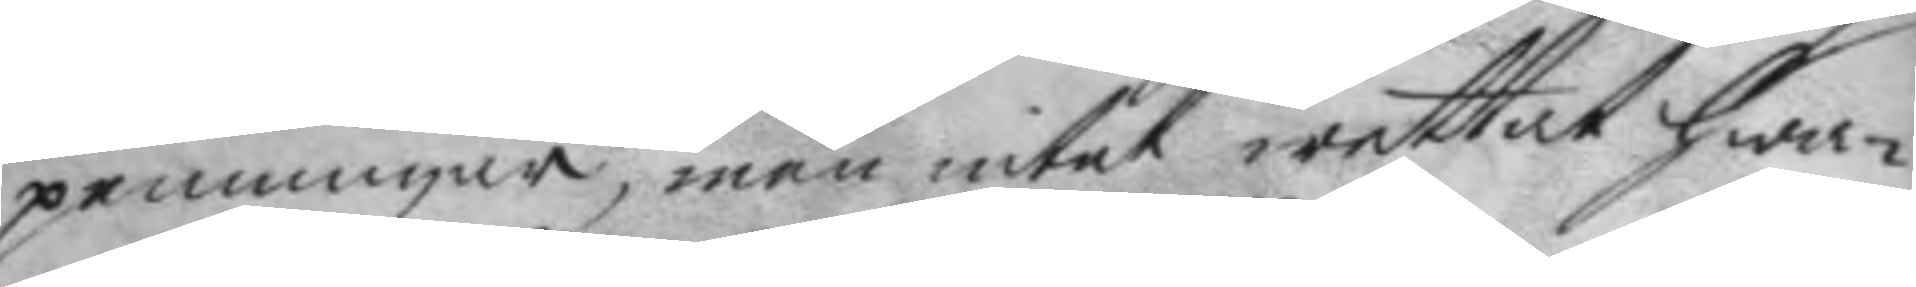penningar, men intet wettat hwa¬
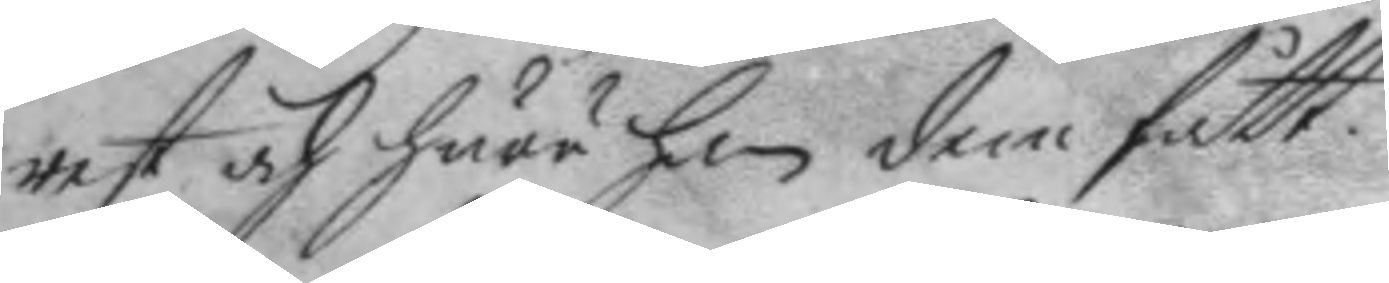rest och huru han dem fått.
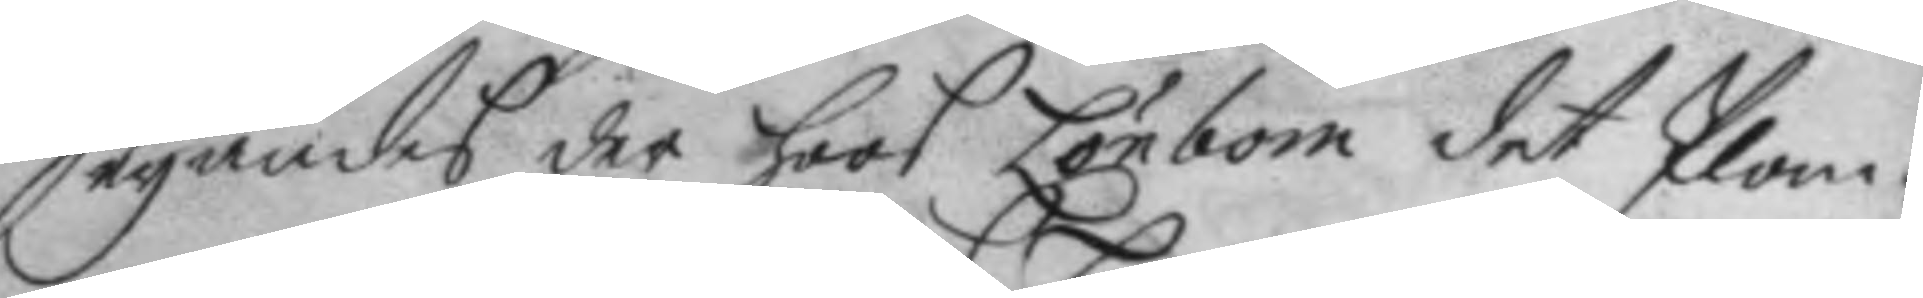Seyandes der hoos Lönbom det Plom¬
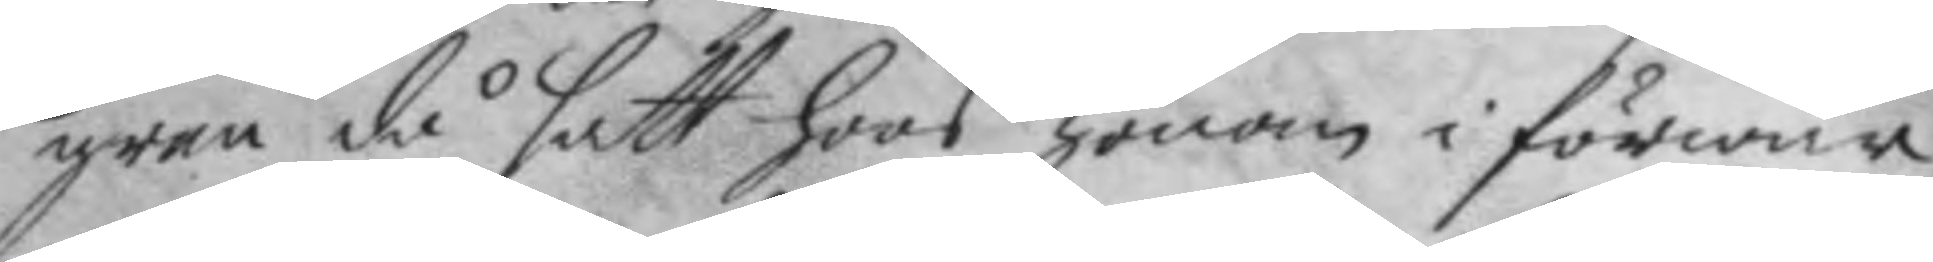gren då satt hoos honom i förwar
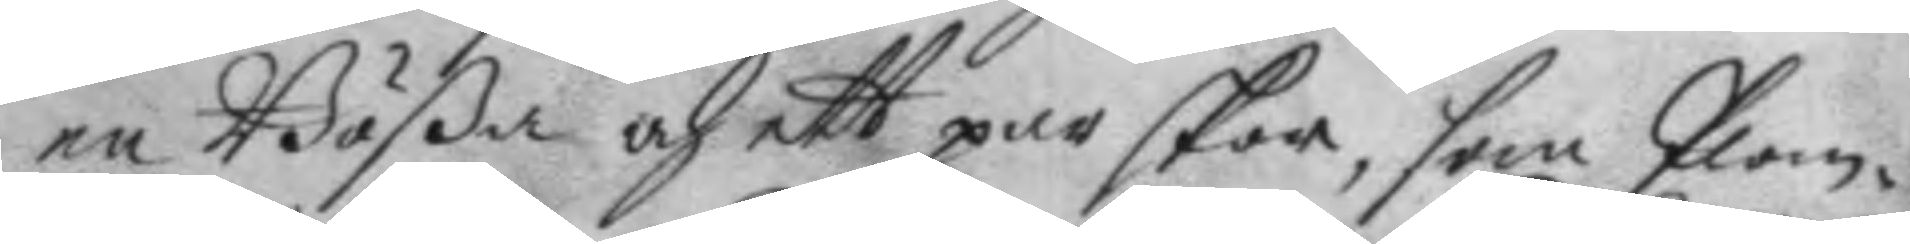en Bößa och ett par skor, som Plom¬
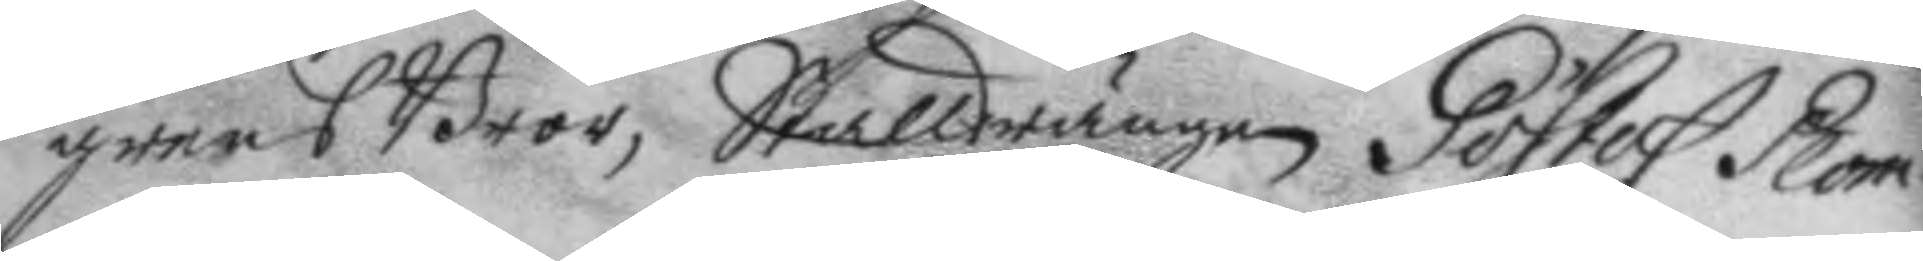grens Bror, Stalldrängen Göstaf Plom¬
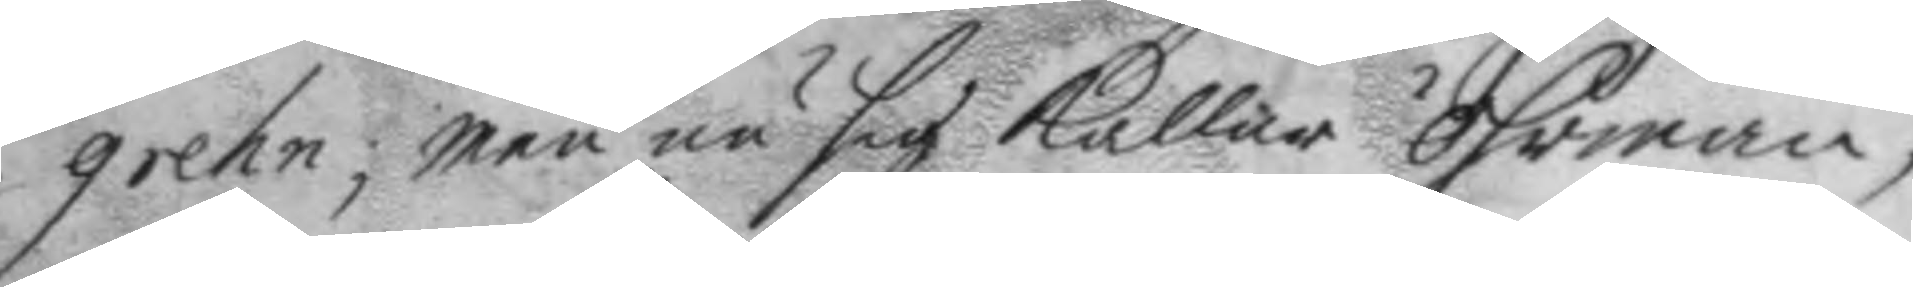grehn; men nu sig kallas öhrman,
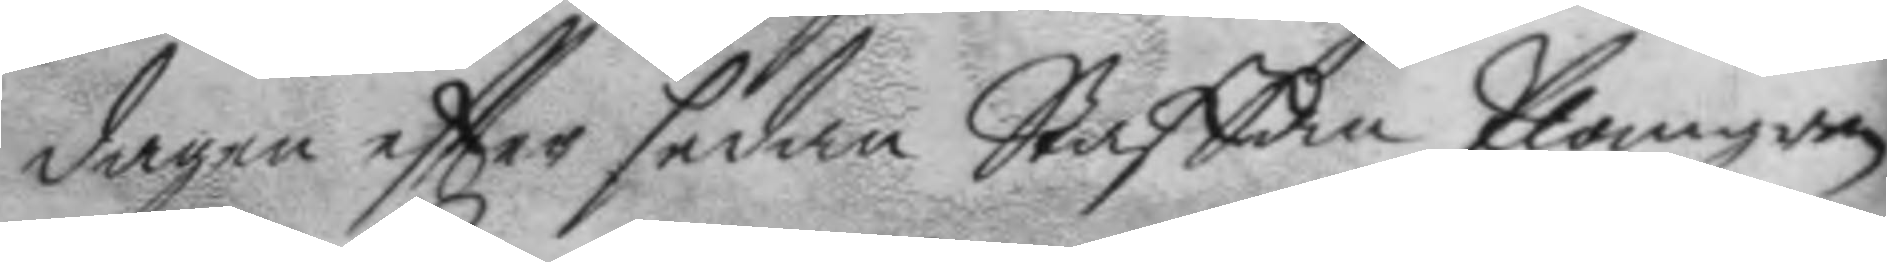dagen eftter sedan Staffan Plomgren
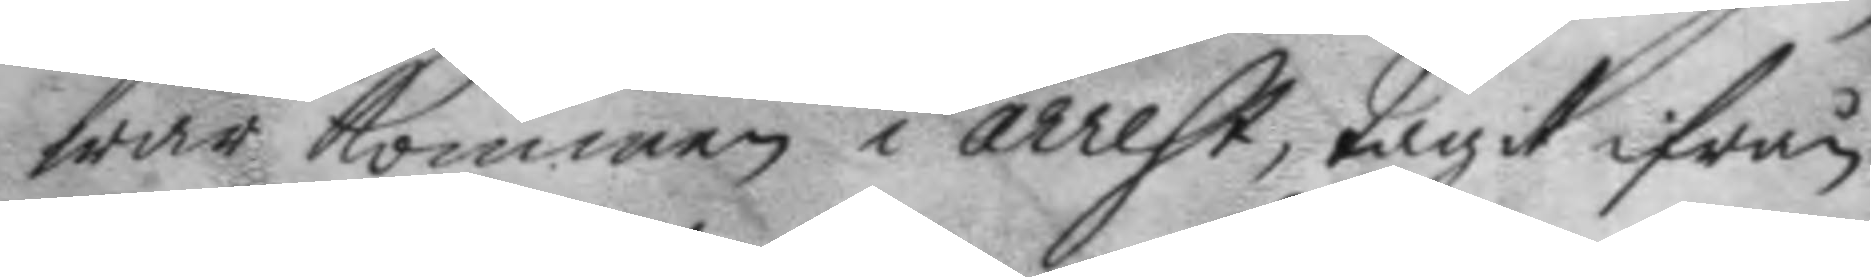war kommen i arrest, tagit ifrån
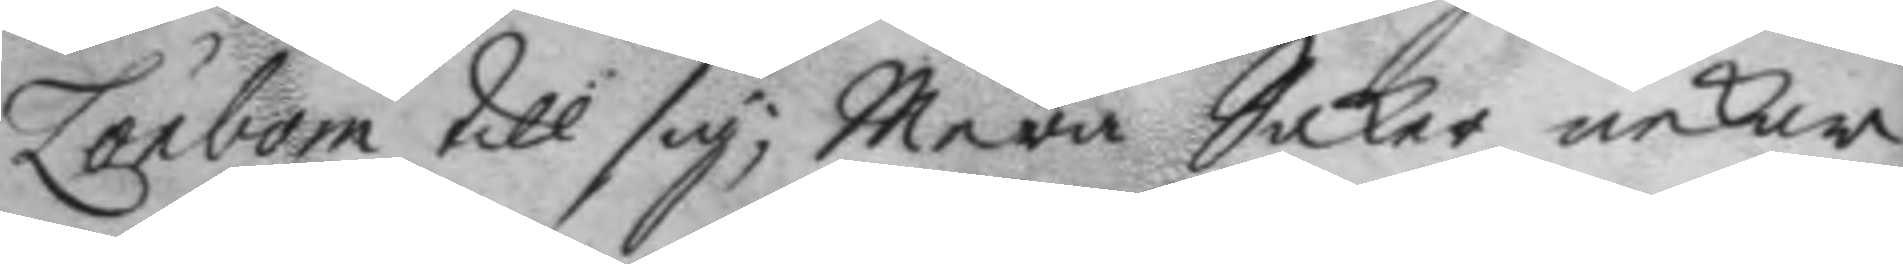Lönbom till sig; Mera Saker nekar
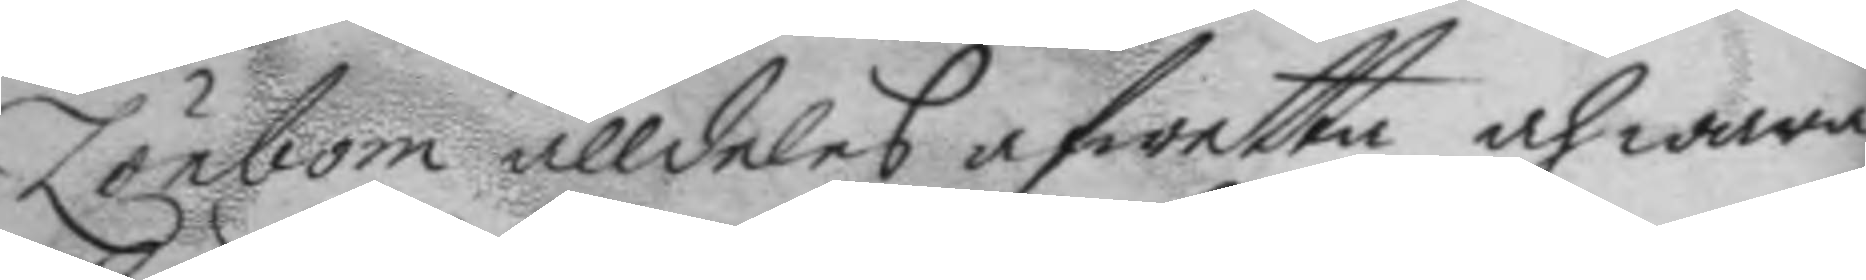Lönbom alldeles afwetta och wara
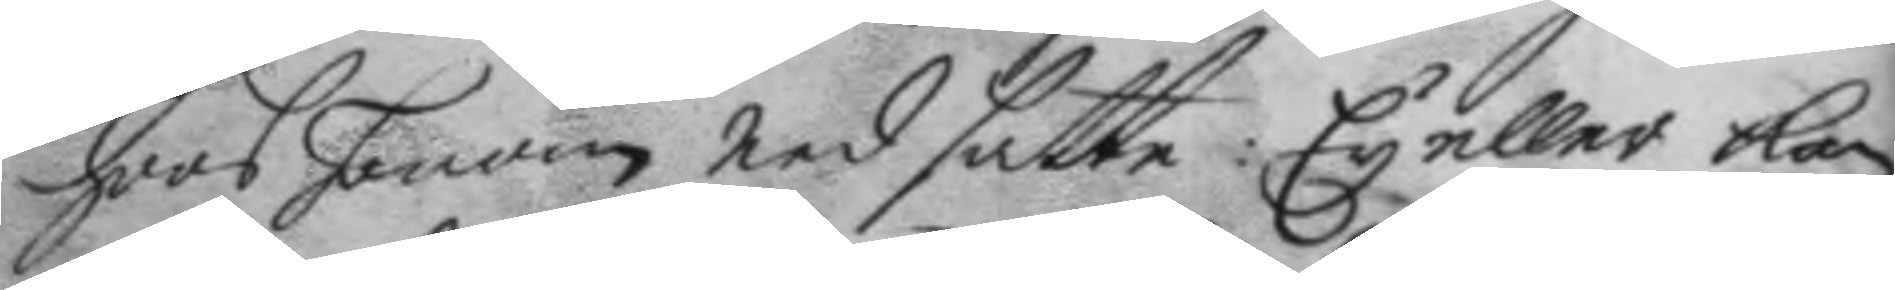hoos honom nedsatte: Ey eller kan
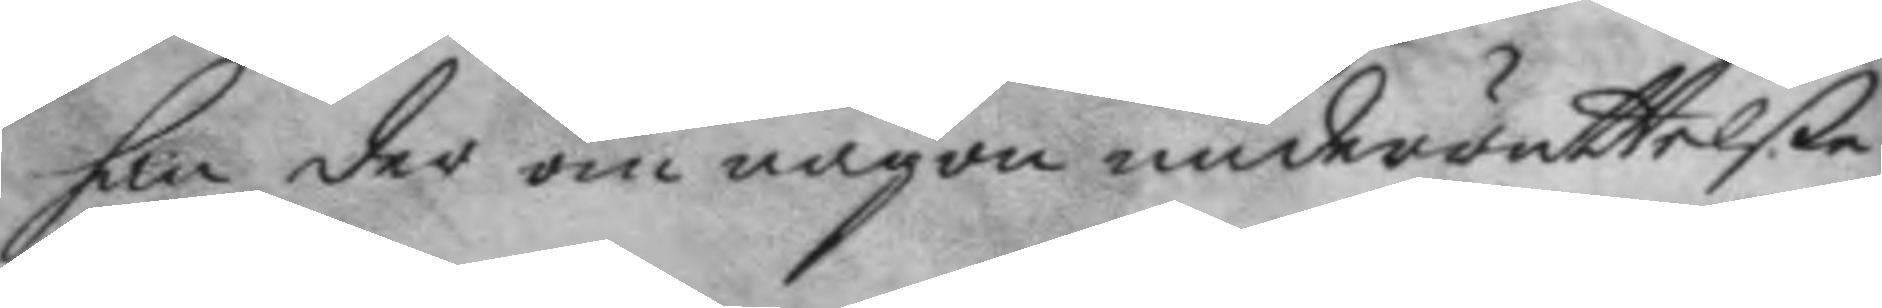han der om någon underrättelße
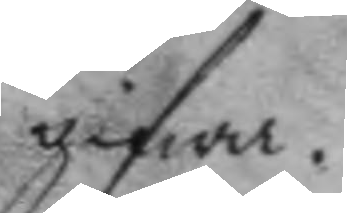gifwa.
